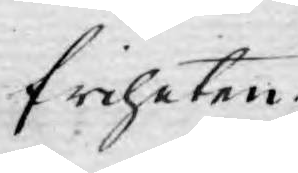friheten.
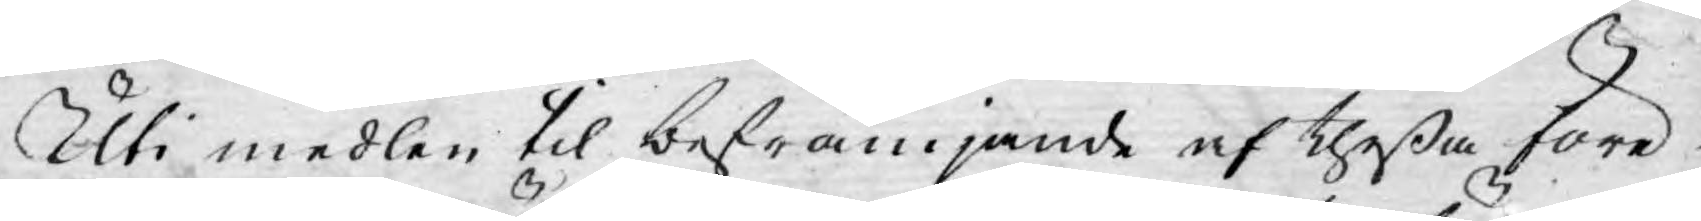Uti medlen til befrämjande af theßa före¬
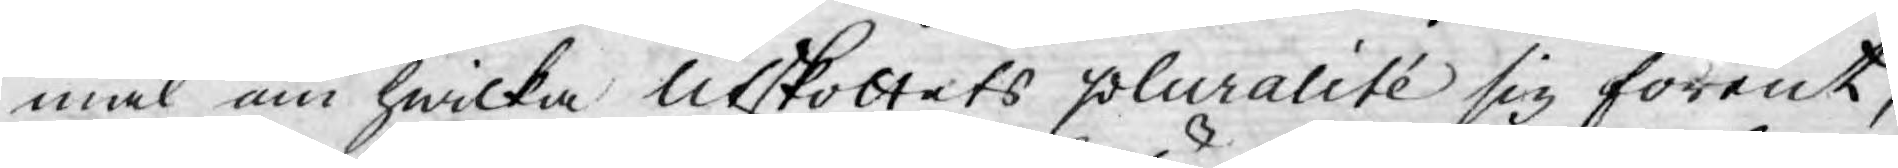mål om hwilka Utskottets pluralité sig förent,
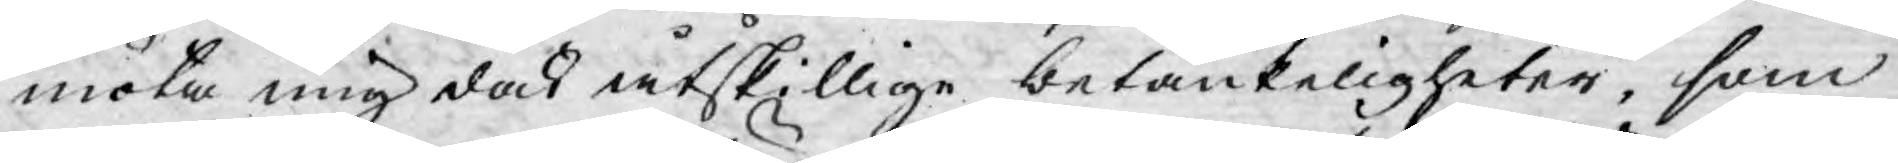möta mig dock åtskillige betänkeligheter, som
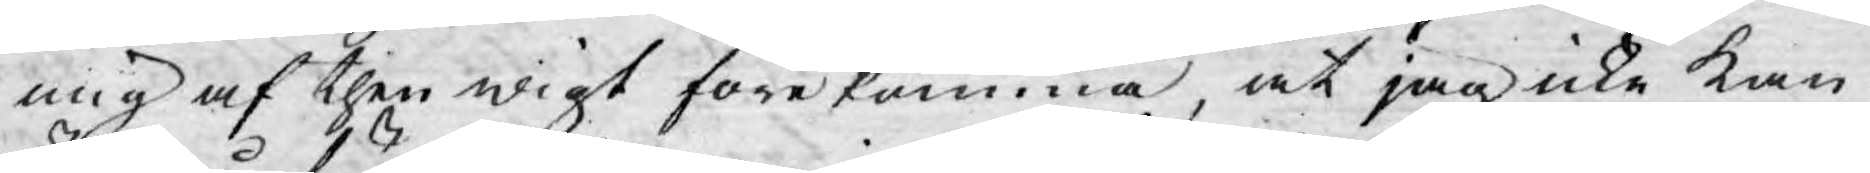mig af then wigt förekomma, at jag icke kan
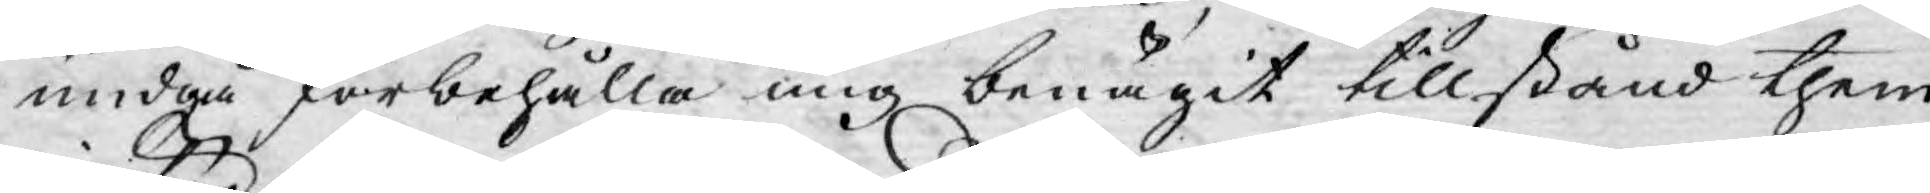undgå förbehålla mig benägit tillstånd them
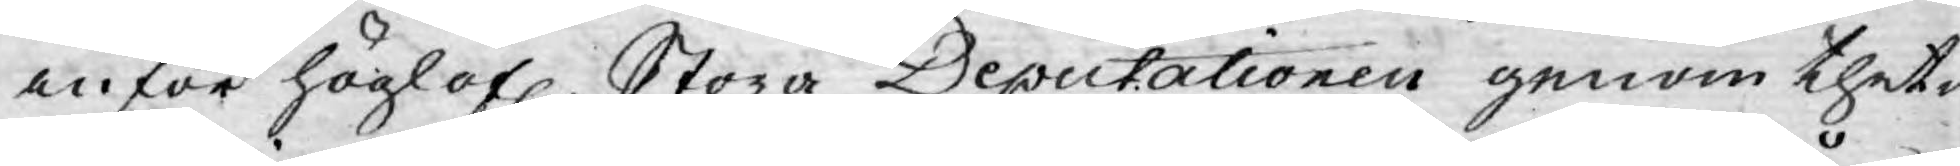inför höglofl. Stora Deputationen genom thet¬
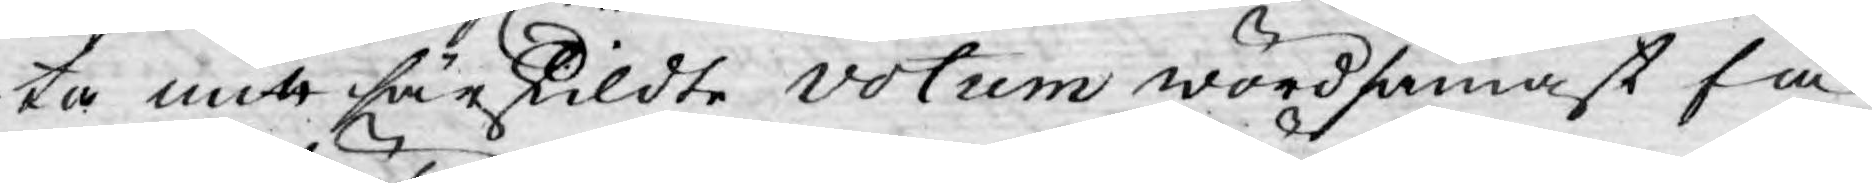ta mitt särskildte votum wördsamast få
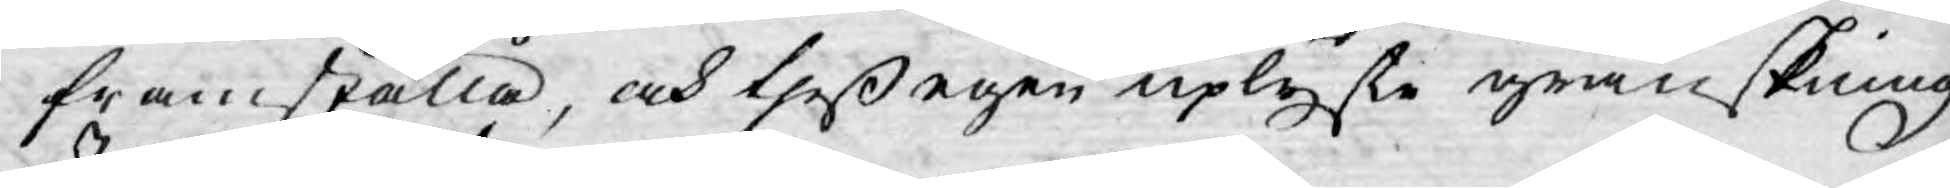framställa, och theß egen uplyste granskning
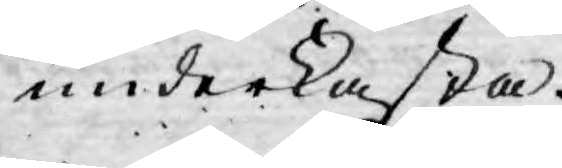underkasta.
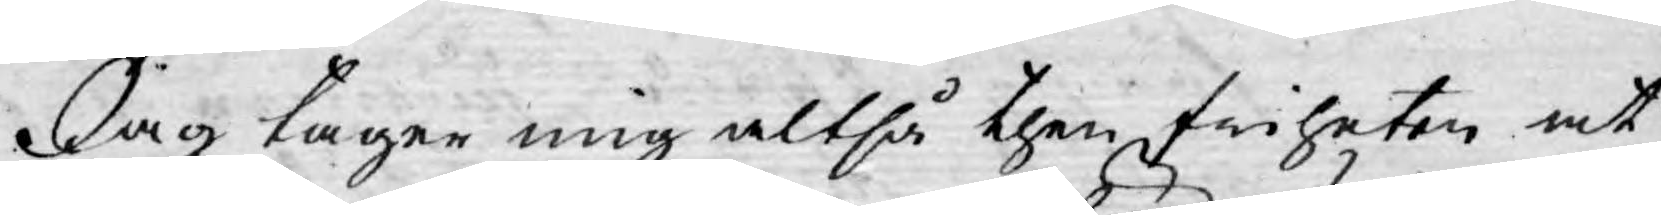Jag tager mig altså then friheten at
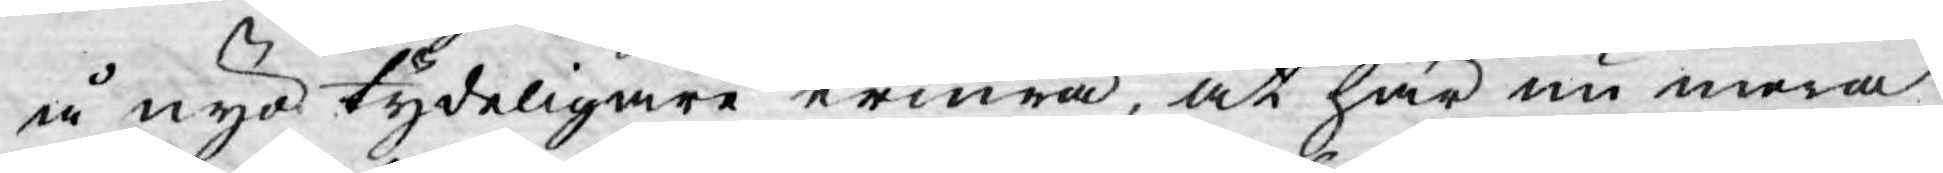å nyo tydeligare erinra, at här nu mera
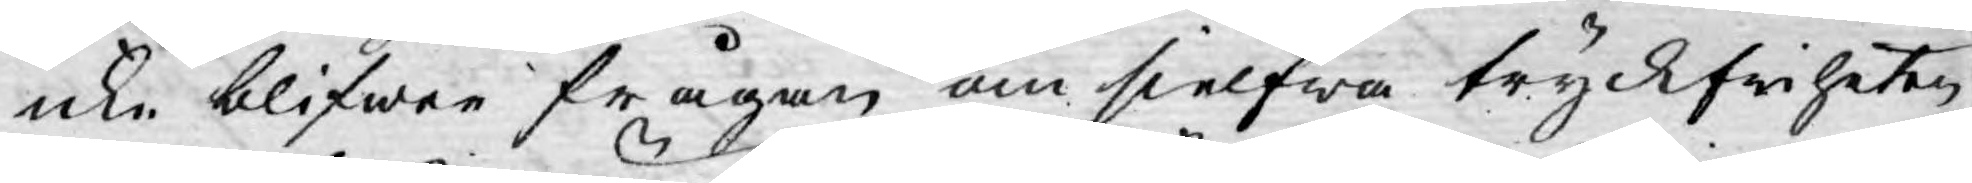icke blifwer frågan om sielfwa tryckfriheten
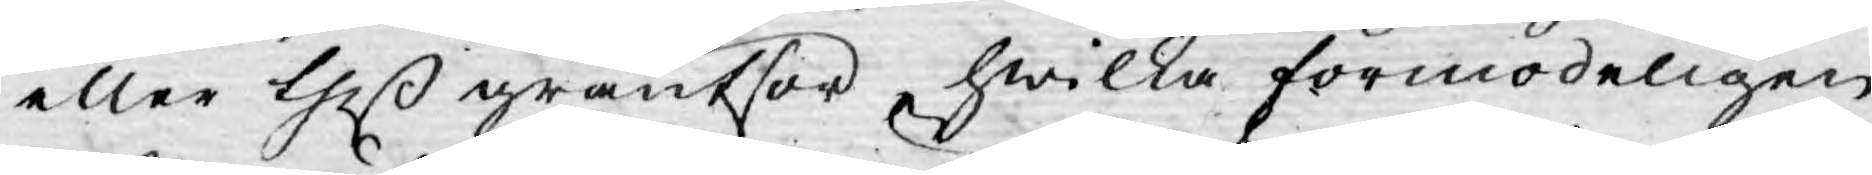eller theß gräntsor, hwilka förmodeligen
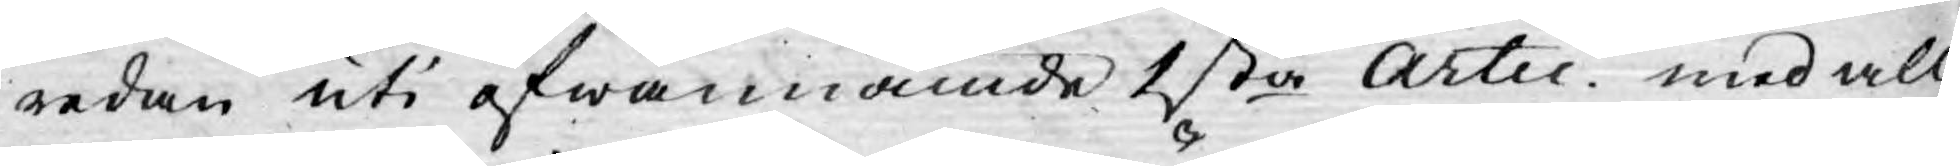redan uti ofwannämde 1sta Artic. med all
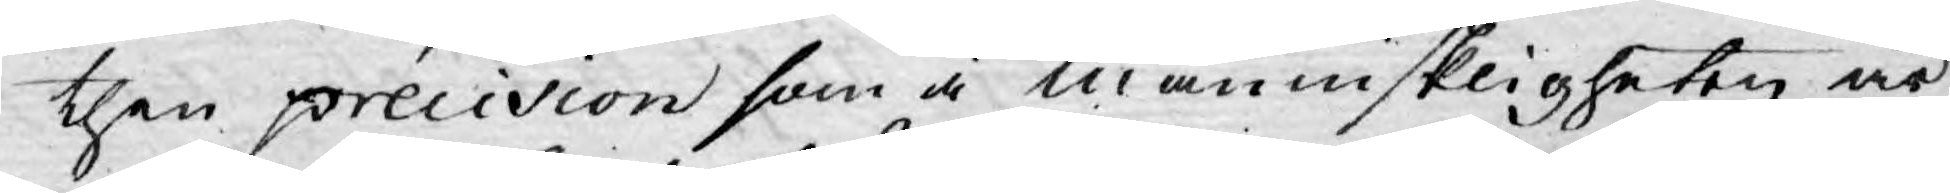then précision som å människligheten är
